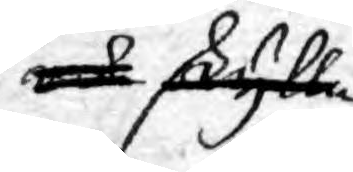och skylla
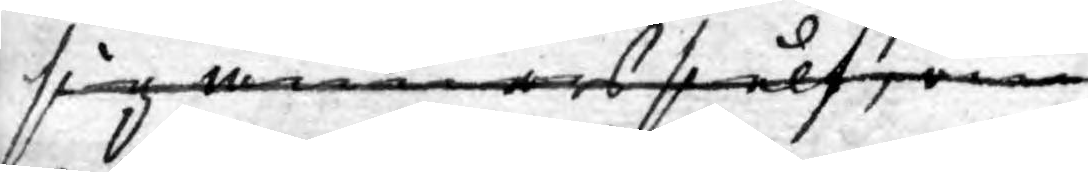sig annars sielf om
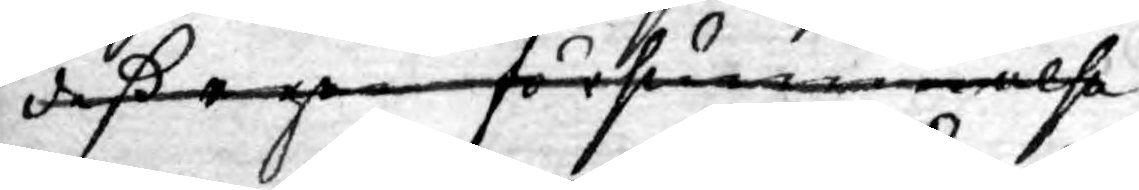deß egen försummelse
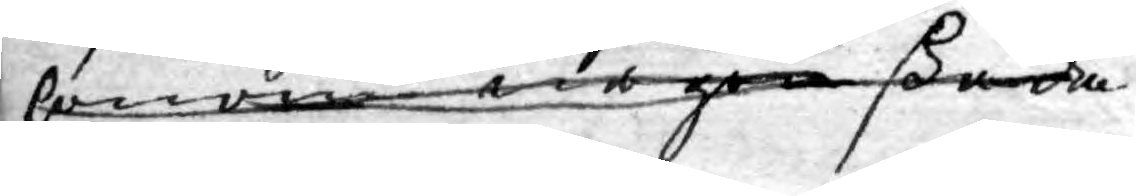honom någon skada
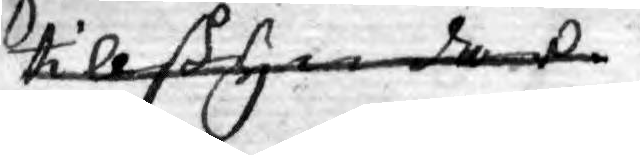tillskyndade.
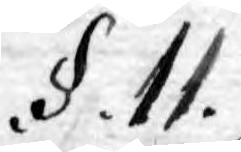.§.11.
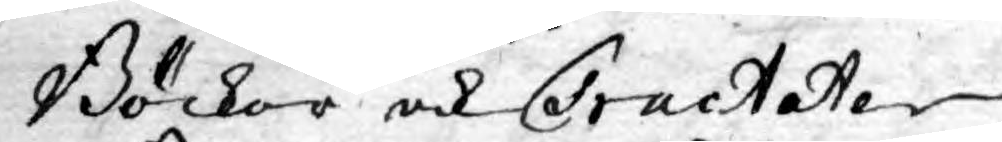Böcker och Tractater
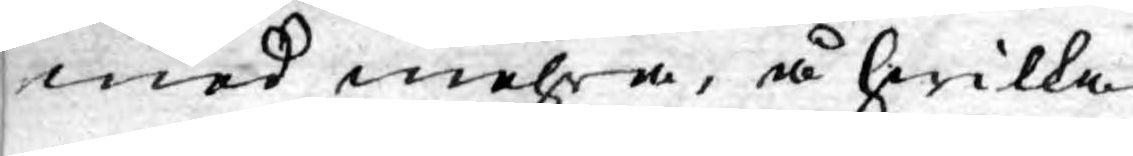med mehra, å hwilka
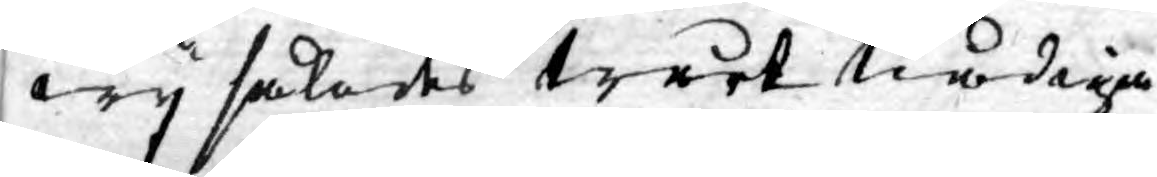wy således Wårt Nådiga
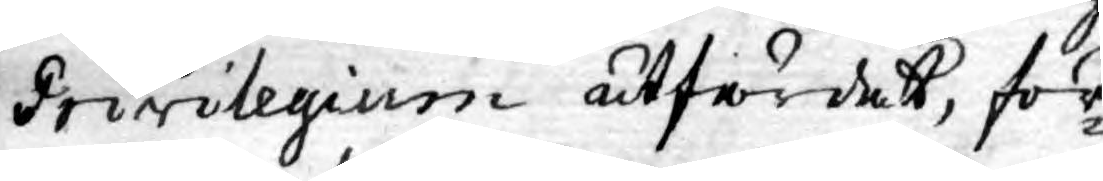Privilegium utfärdat, för¬
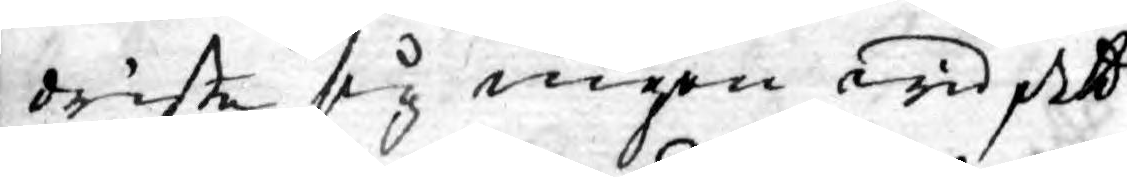driste sig ingen wid det
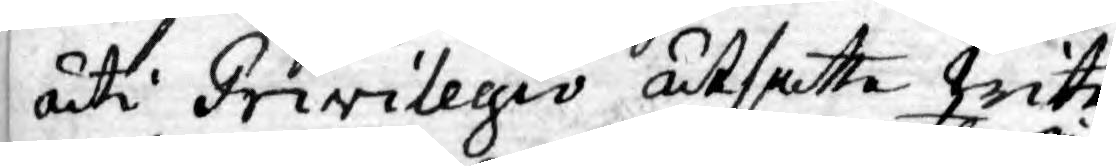uti Privilegio utsatte wite
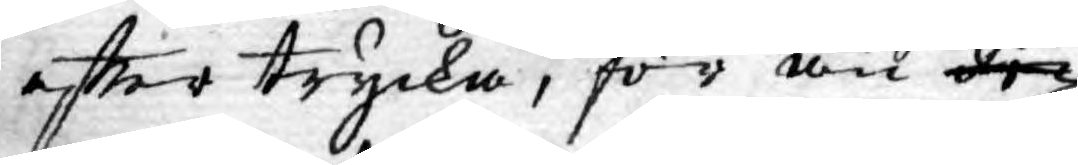eftter trycka, för än Pri¬
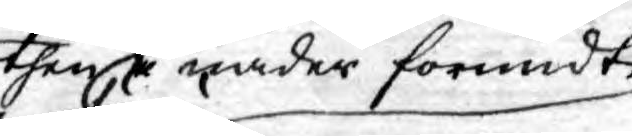then i nåder förundte
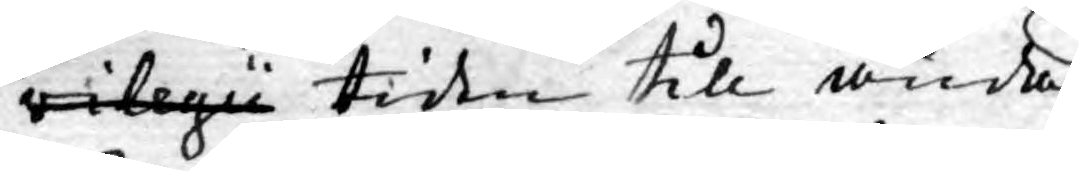vilegii tiden till ända
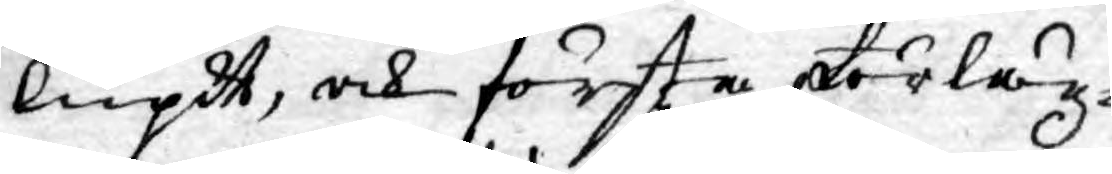lupit, och första förläg¬
